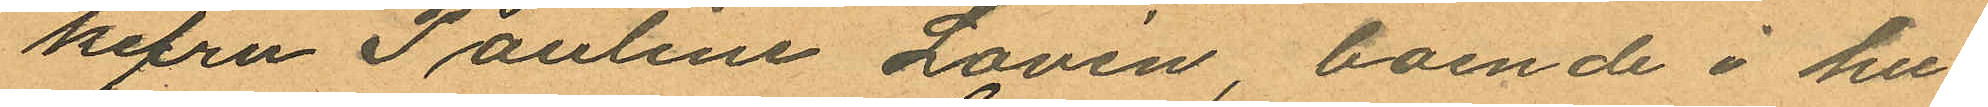kefru Pauline Lovén, boende i hu
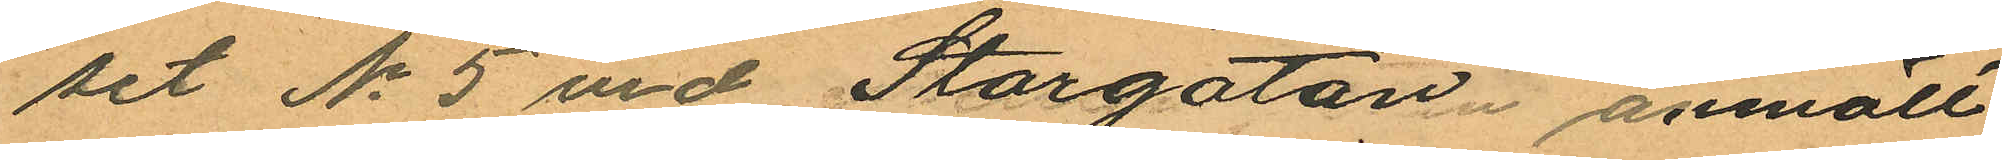set No 5 vid Storgatan anmält
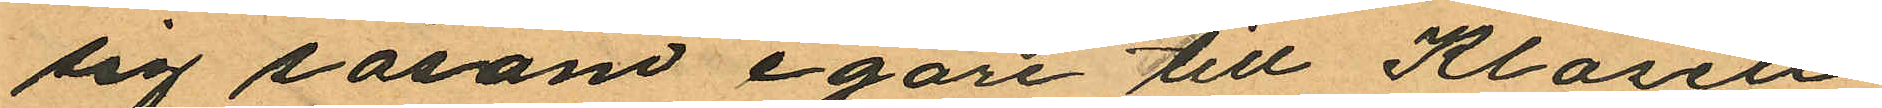sig såsom egare till Klosett
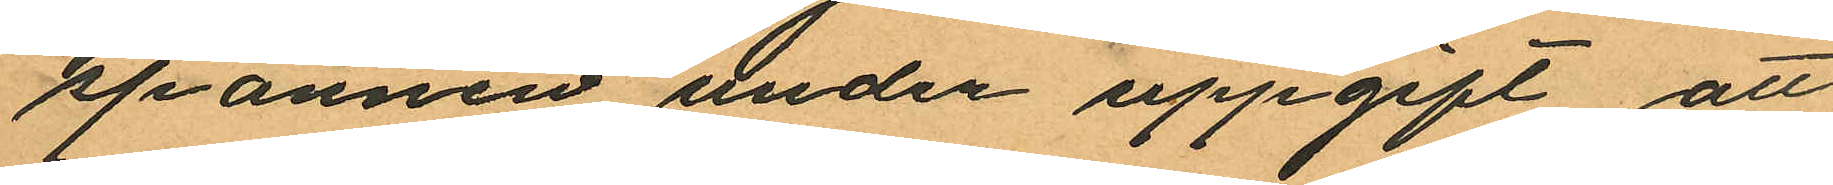spannen under uppgift att
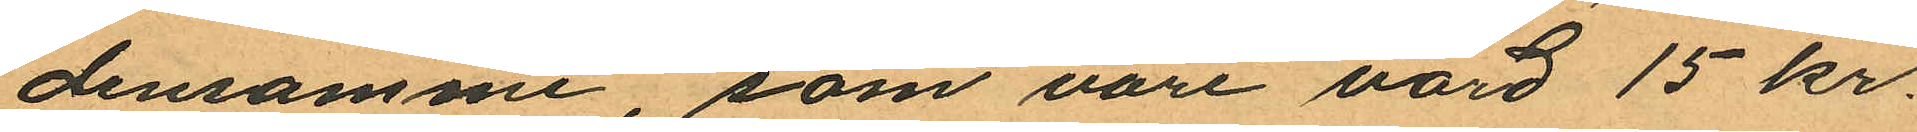densamme, som vore värd 15 kr.
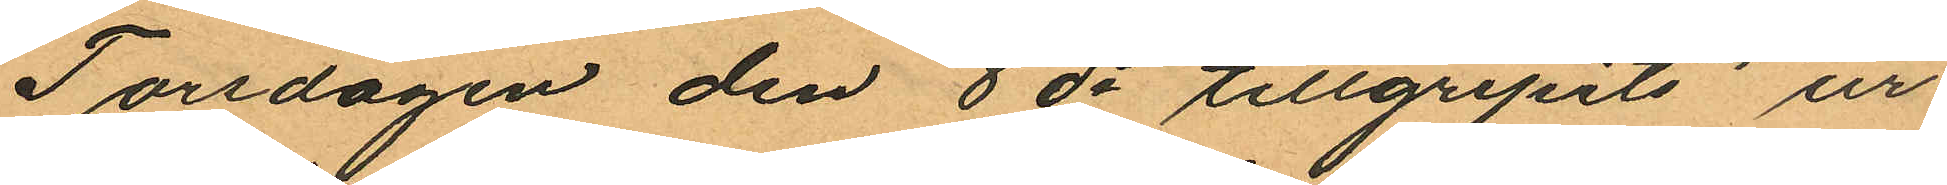Torsdagen den 8 ds tillgripits ur
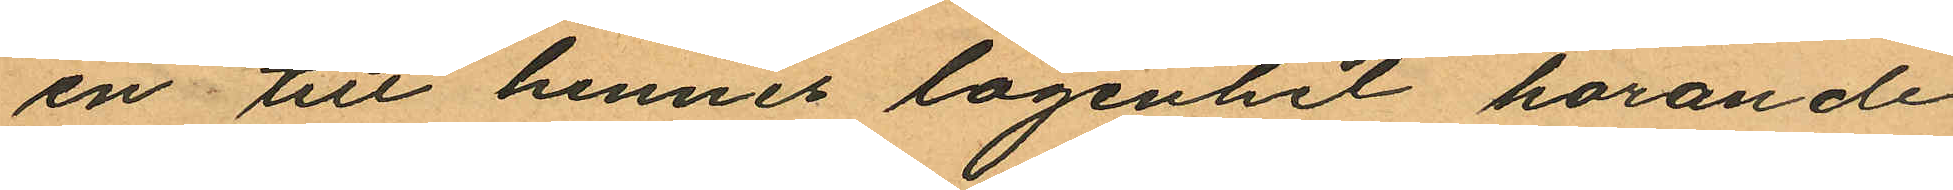en till hennes lägenhet hörande
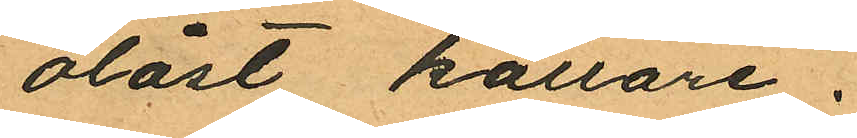olåst källare.
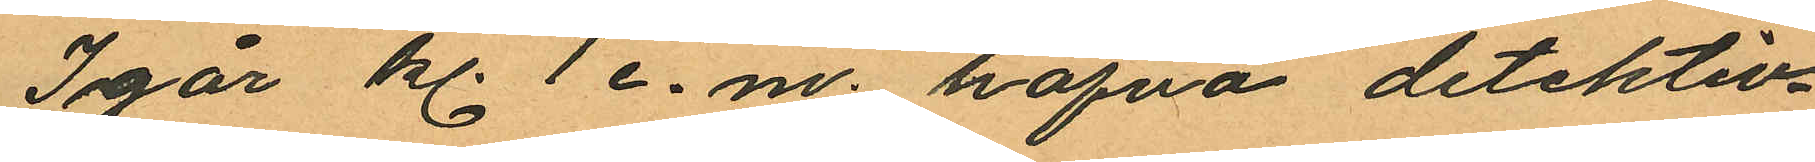Igår kl. 1 e.m. hafva detektiv¬
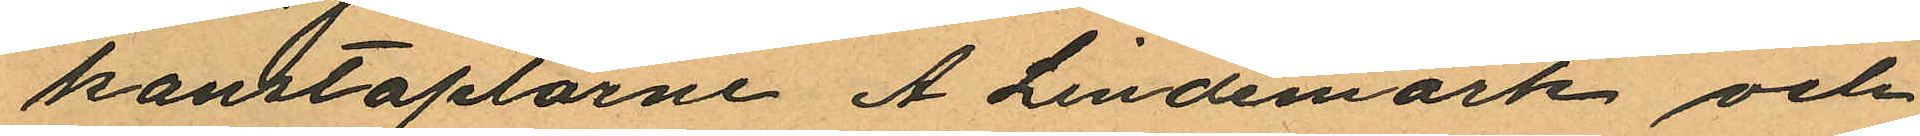konstaplarne A. Lindemark och
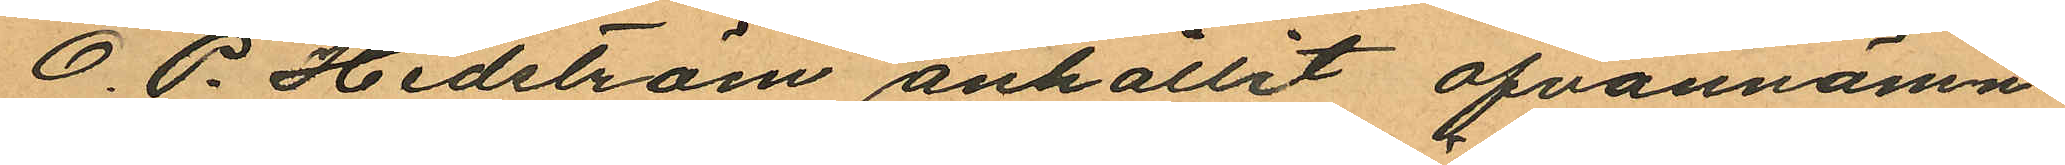O. P. Hedström anhållit ofvannämn¬
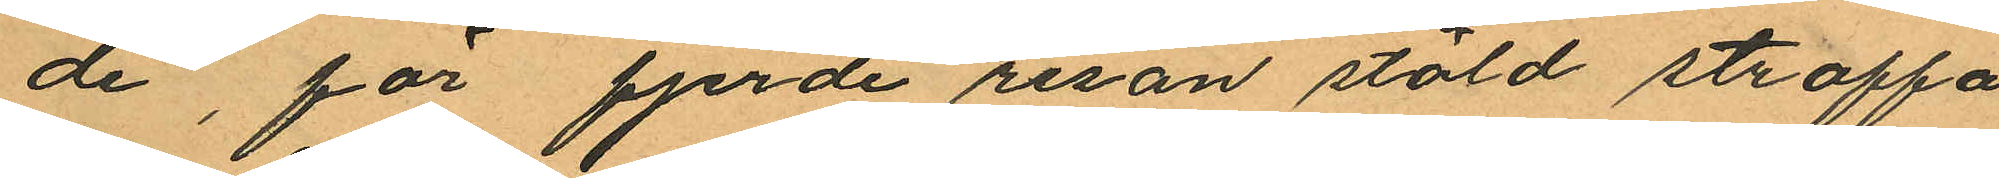de, för fjerde resan stöld straffa¬
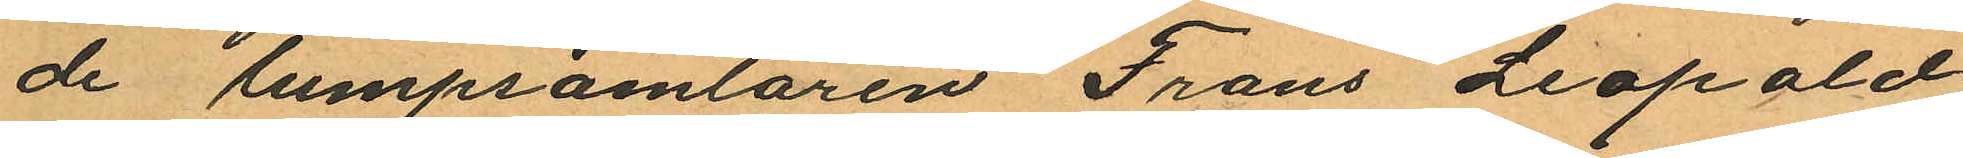de lumpsamlaren Frans Leopold
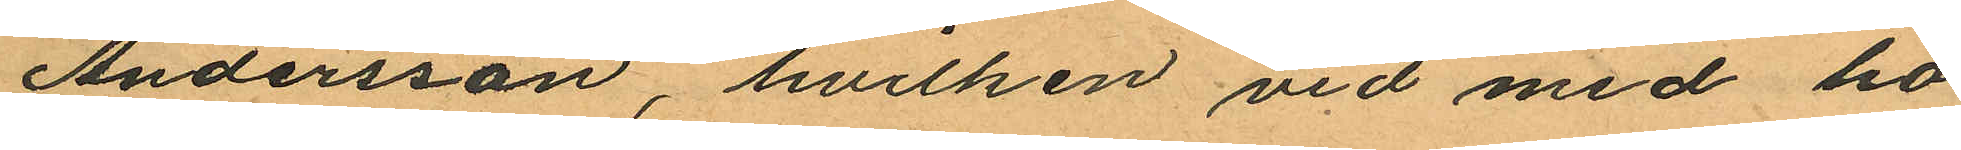Andersson, hvilken vid med ho¬
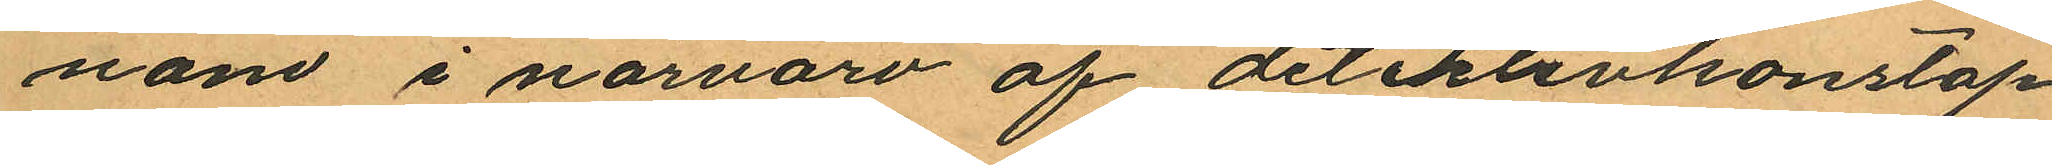nom i närvaro af detektivkonstap¬
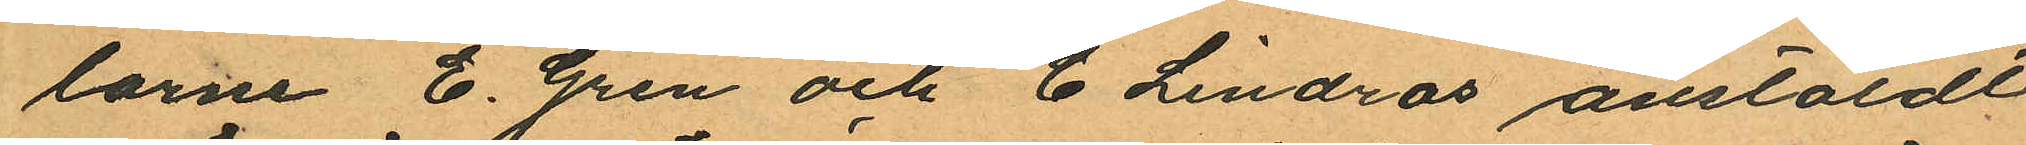larne E. Gren och C Lindros anstäldt
